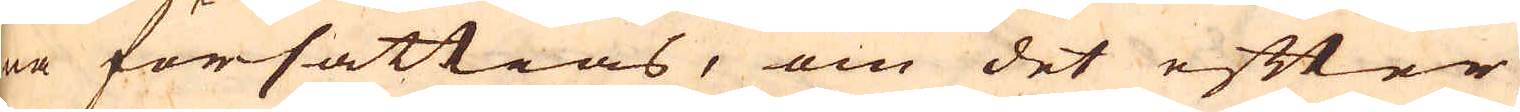na försättias, om det efter
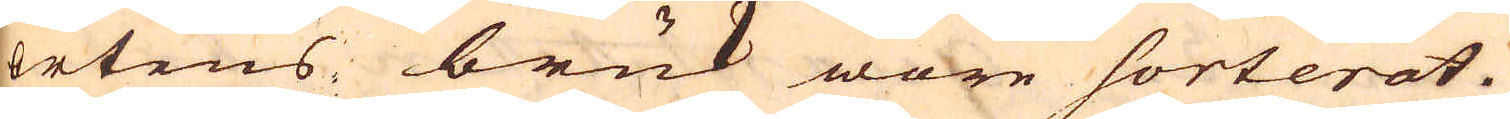ortens bruk wore sorterat.
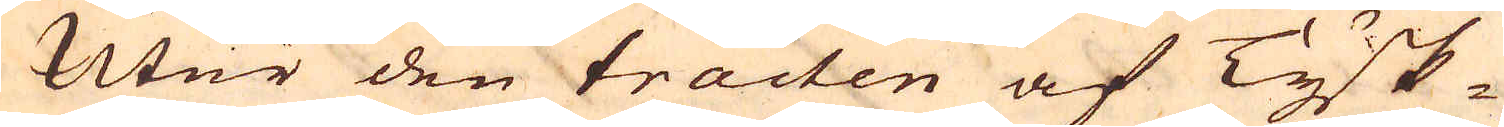Utur den tracten af Tysk-
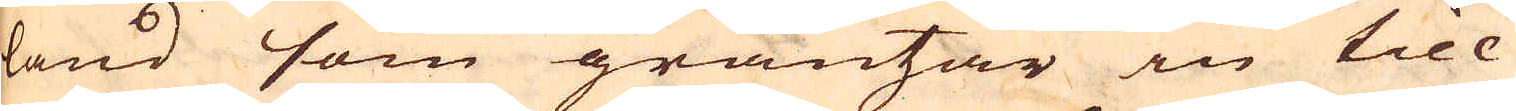land som gräntzar in till
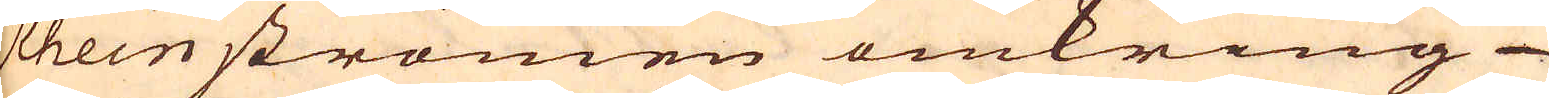Rheinströmen omkring
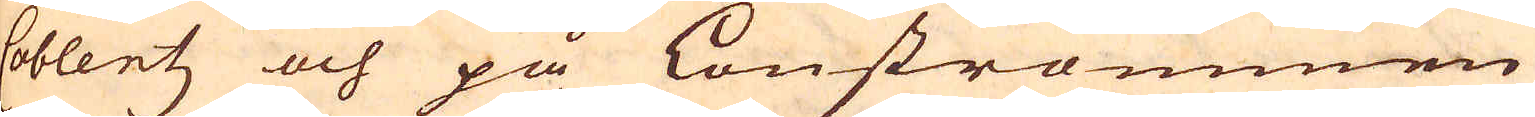Coblentz och på Lonströmmen
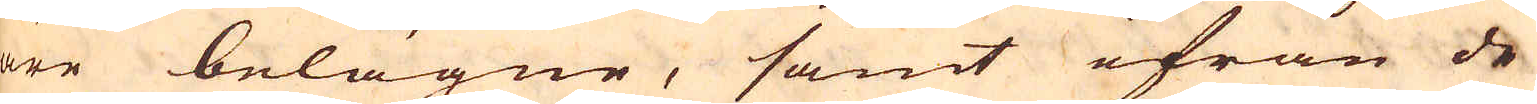äre belägne, samt ifrån de
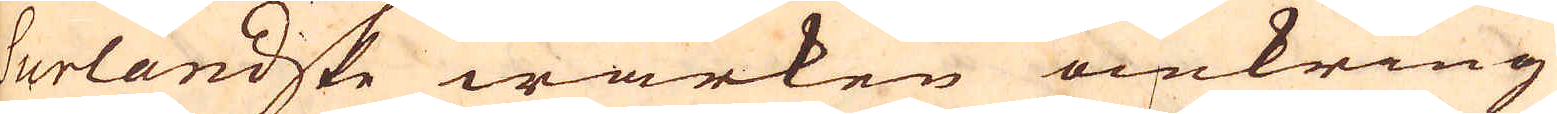Surlandske wärken omkring
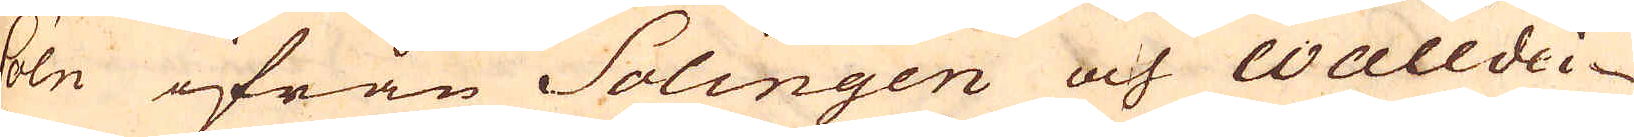Cöln ifrån Solingen och Walldei-
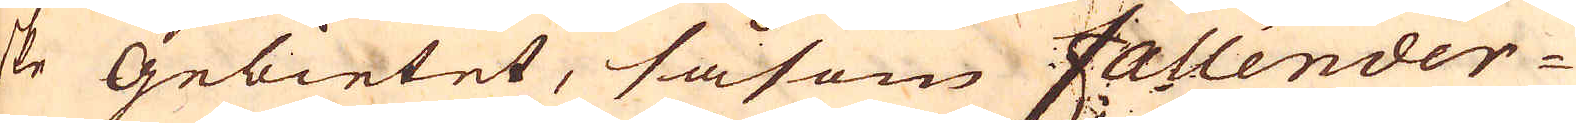ske Gebietet, såsom Fallender
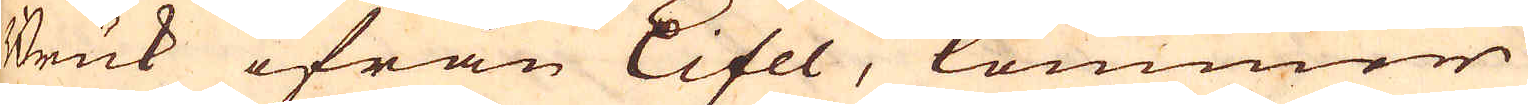Bruk ifrån Eifel, kommer
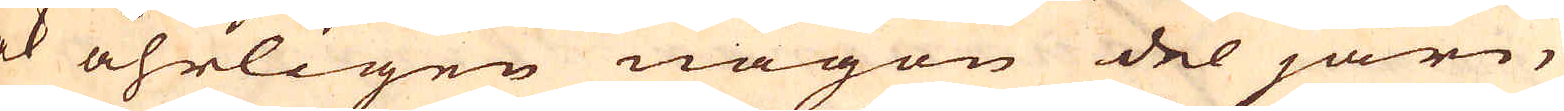ock åhrligen någon del järn,
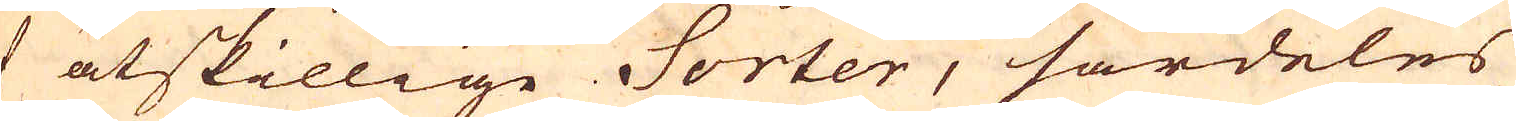af åtskillige Sorter, särdeles
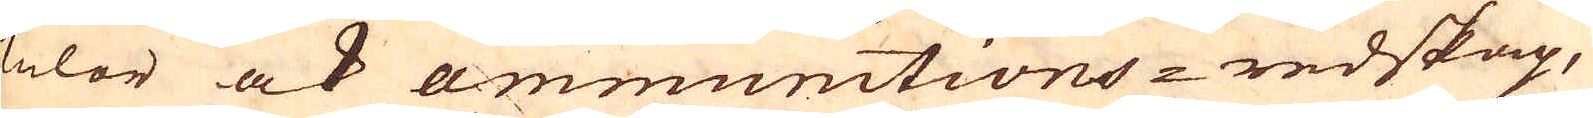kulor ock ammunitions-redskap,
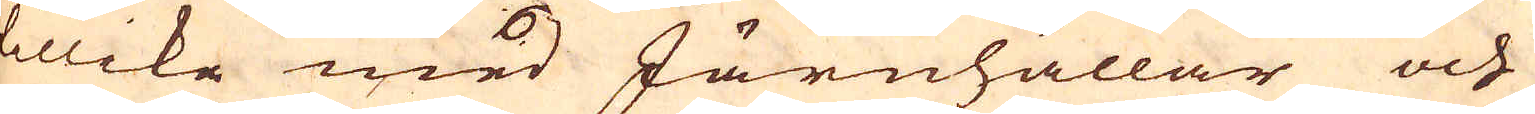tillike med Järnhällar och
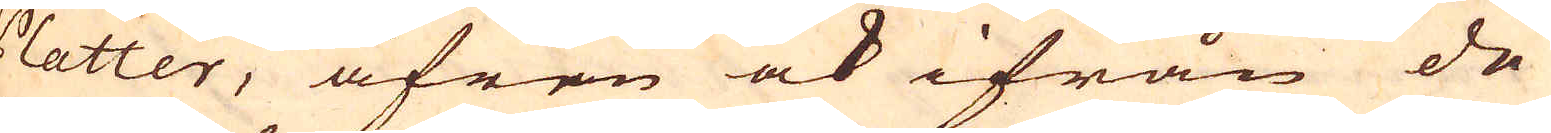Platter, äfren ock ifrån de
